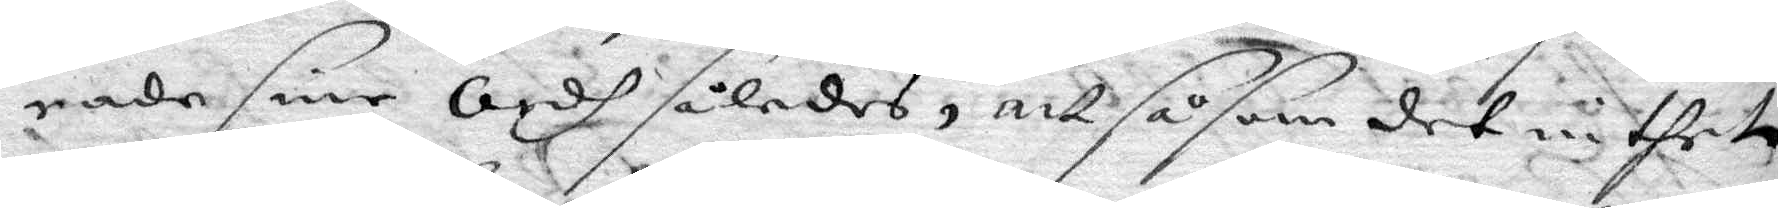rade sine Ordh således, att såsom det inthet
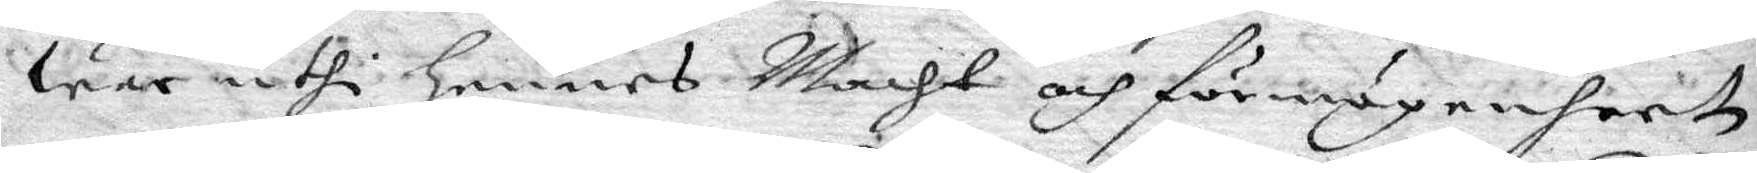war uthi hennes Macht och förmågenheet
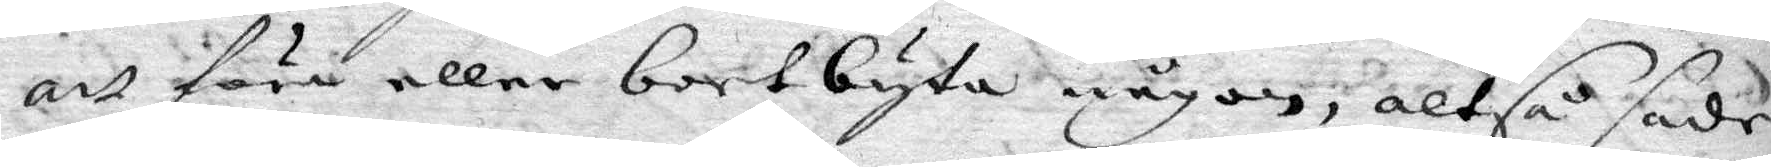att föra eller bortbyta någon, altså sade
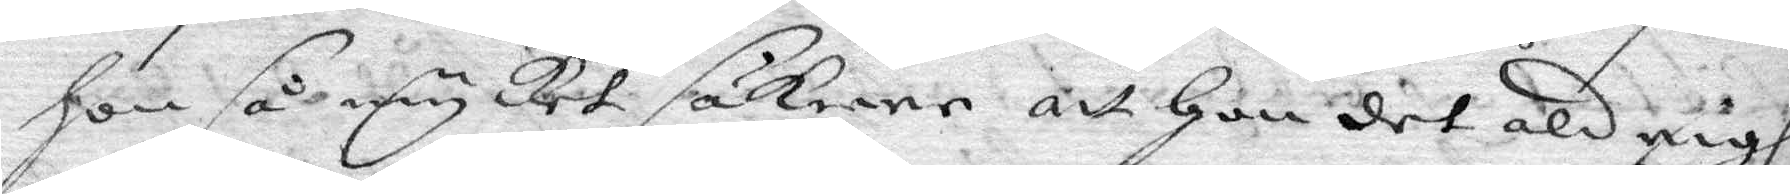hon så mycket säkrare att hon det aldrigh
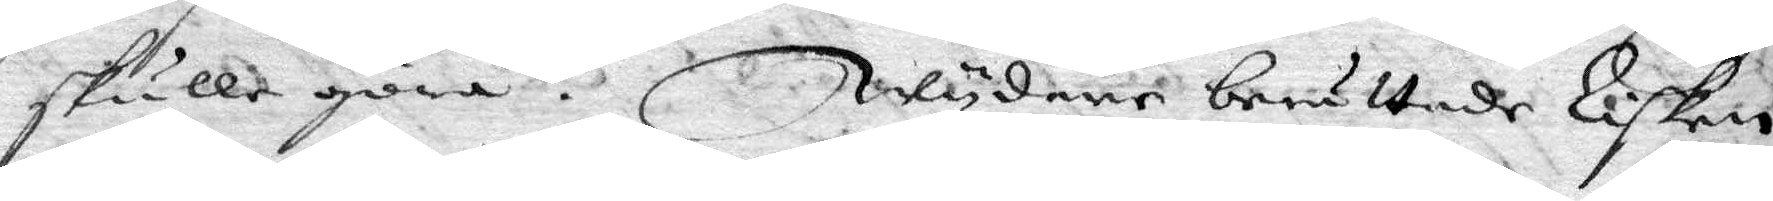skulle göra. Wydare berättade Lisken
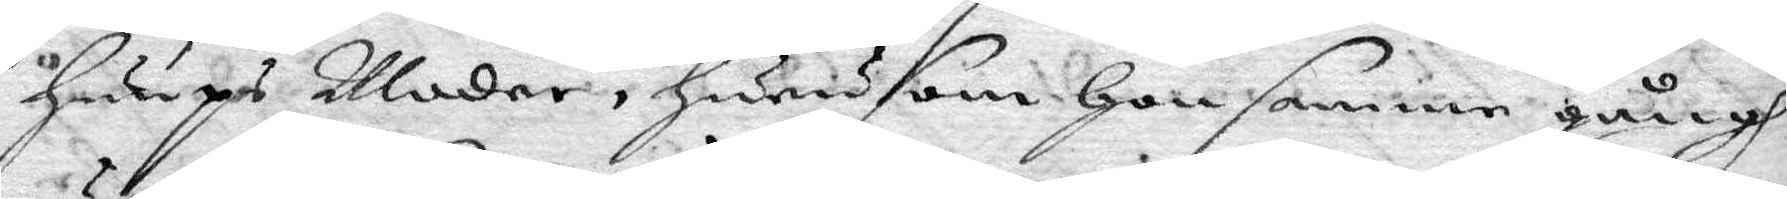huups Måder, hurusom hon samme gångh
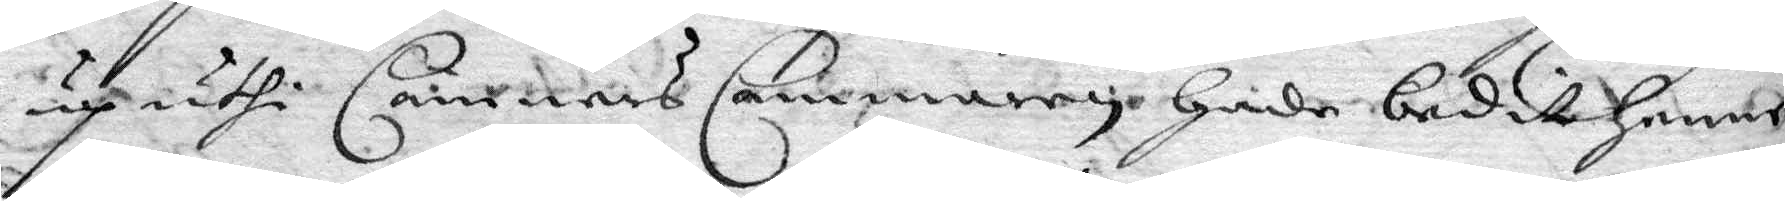up uthi Cämners cammaren hade bedit henne
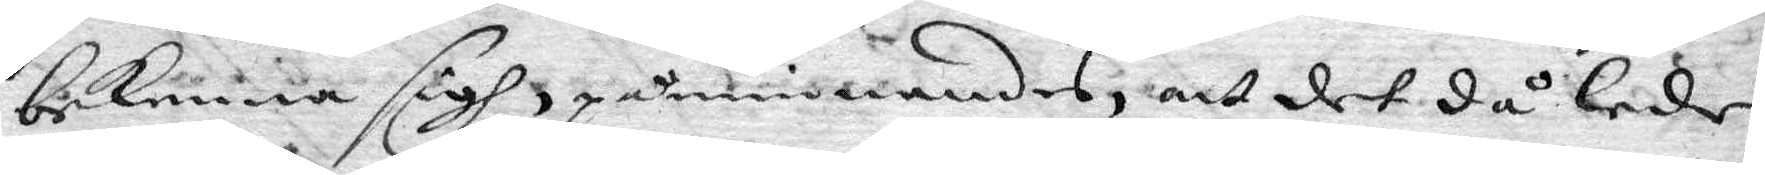bekenna sigh, påminnandes, att det då lede
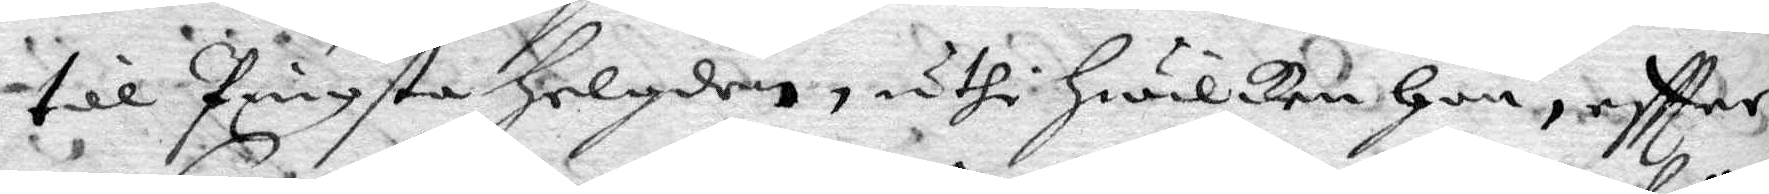till Pingste helgden, uthi hwilken hon, eftter
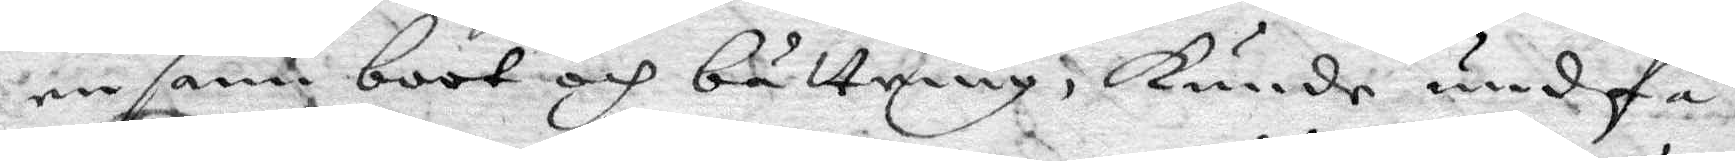en sann boot och bättring, kunde undfå
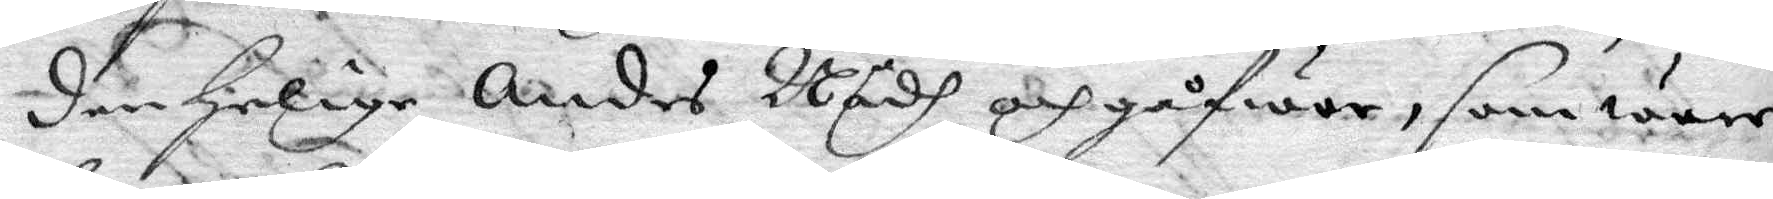den helige Andes Nådh och gåfwor, som ware
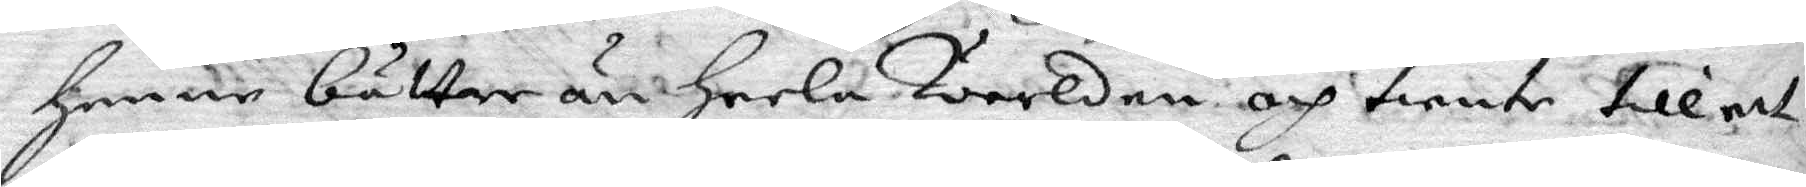henne bättre än heela Wärlden och tiente till ett
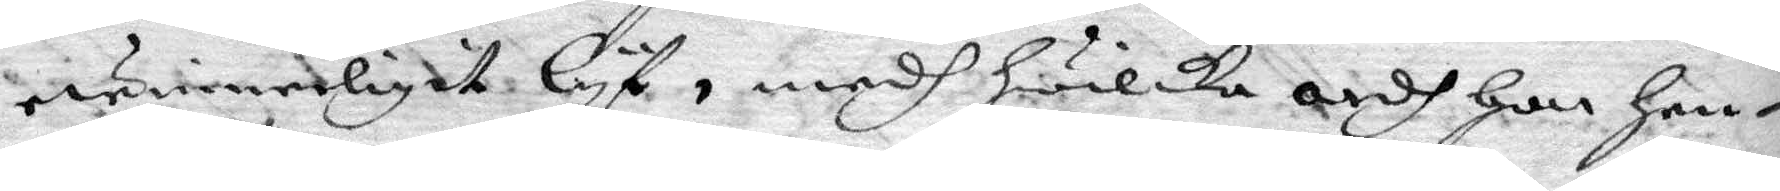ewinnerligit Lyf, medh hwilka ordh hon hen¬
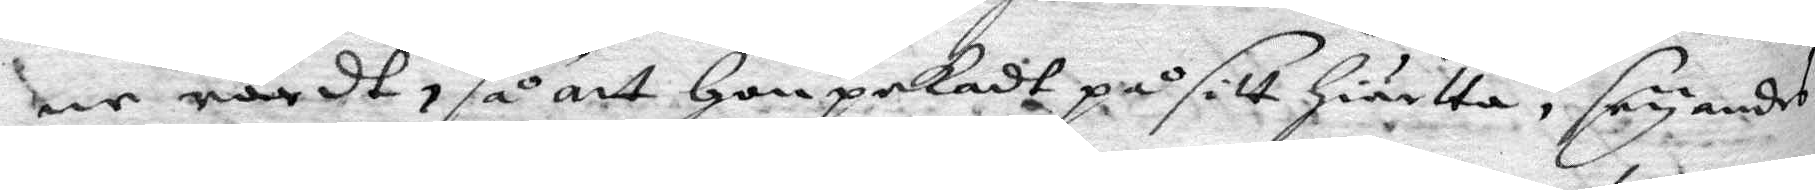ne rördt, så att hon pekadt på sitt hiärta, seyandes
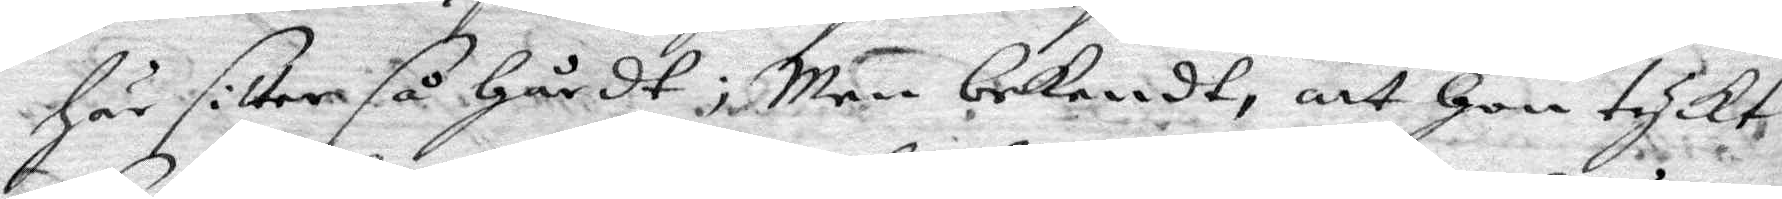här sitter så hårdt; Men bekendt, att hon tyckt
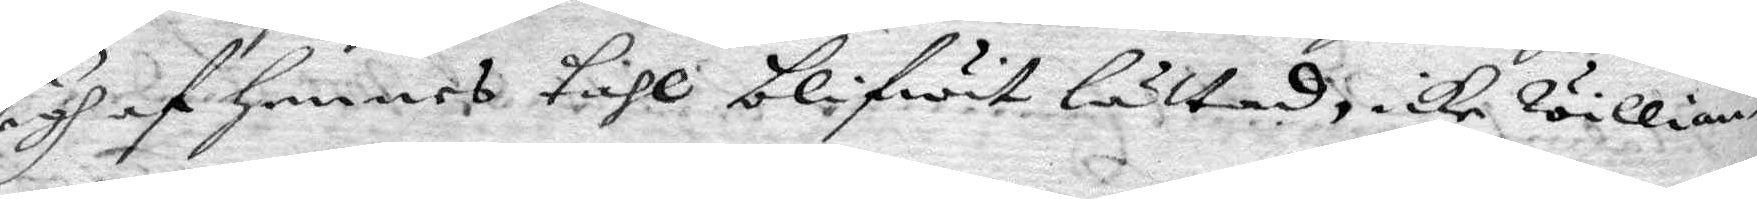sigh af hennes tahl blifwit lättad, icke willian¬
